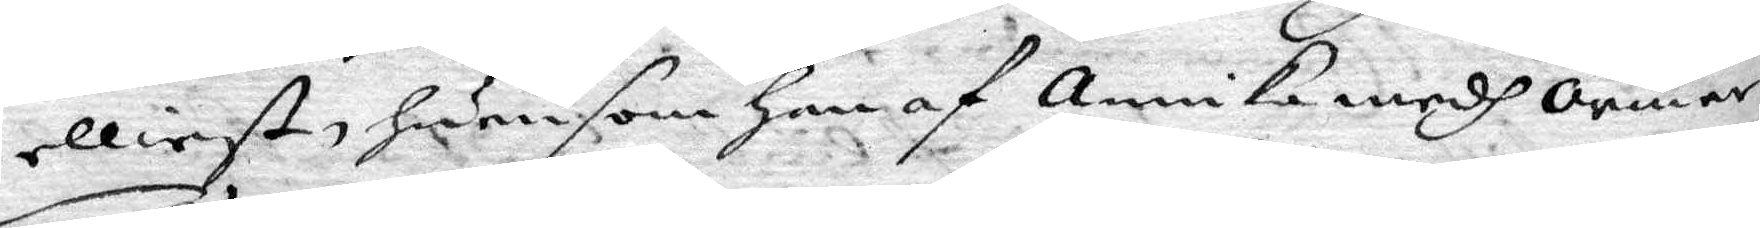elliest, hurusom han af annika medh ormar
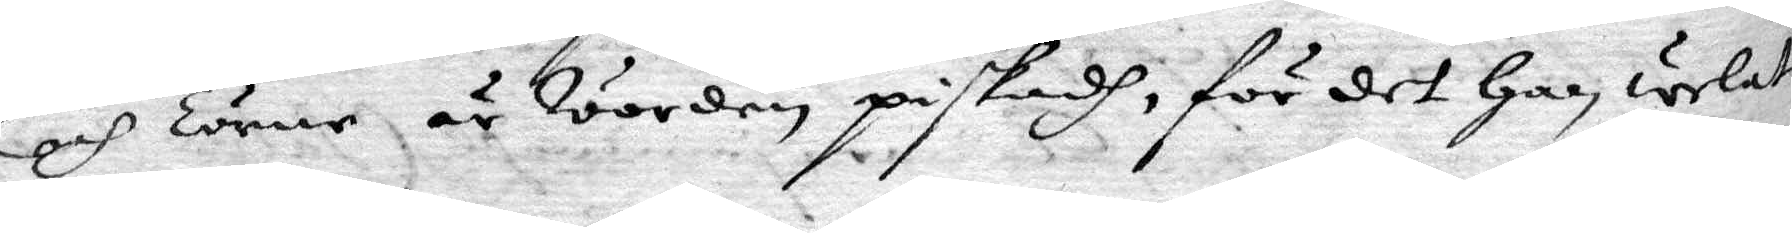och Törne är worden piskadh, för det han welat
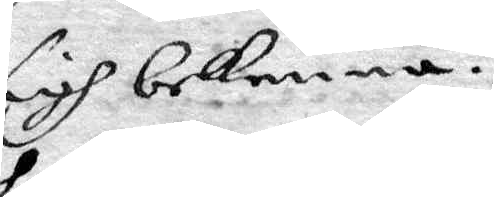sigh bekenna.
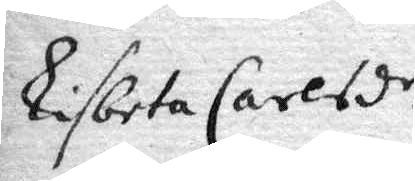Lisbeta Carlsdr.
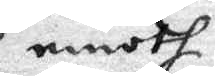emoth
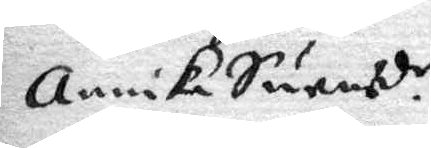annika Swensdr.
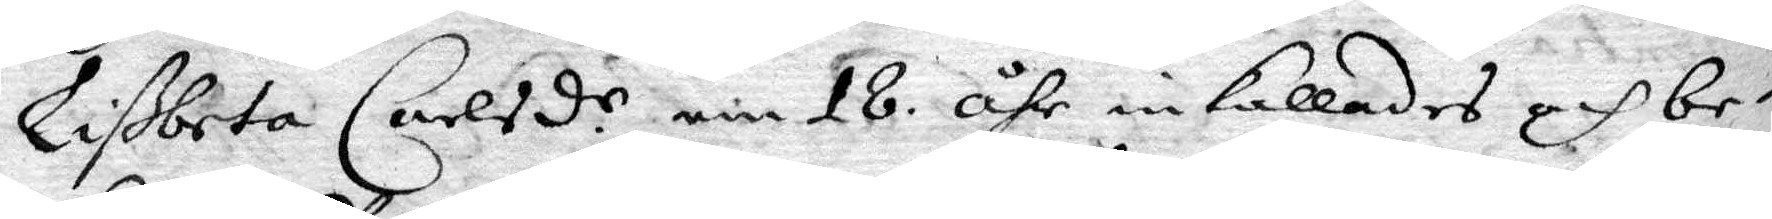Lißbeta Carlsd.r nu 18 åhr inkallades och be¬
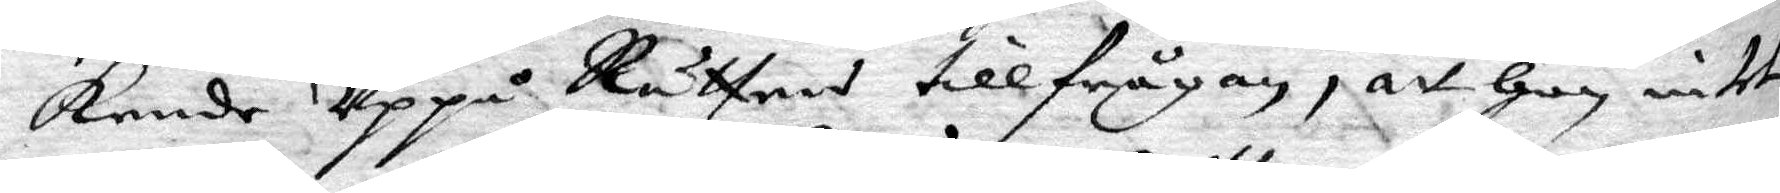kende Uppå Rättens tillfrågan, att hon intet
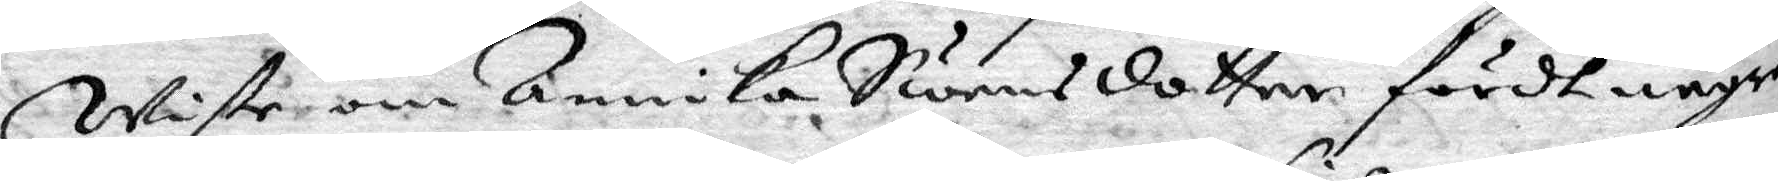Wiste om Annika Swensdotter fördt någre
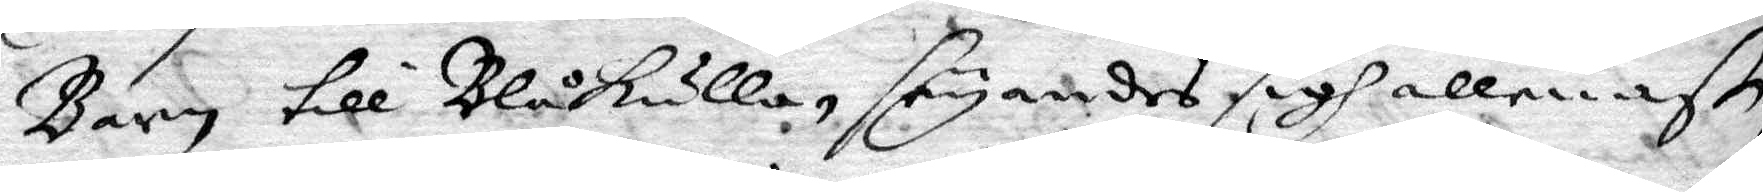Barn till Blåkulla, seyandes sigh allenast
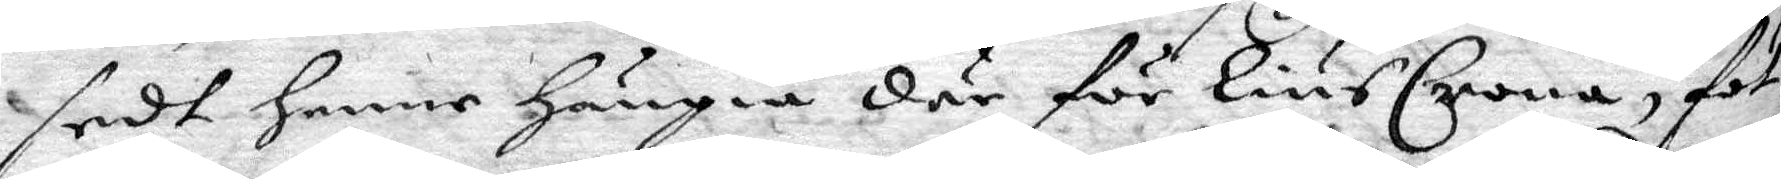sedt henne hängia där för liusCrona, föt¬
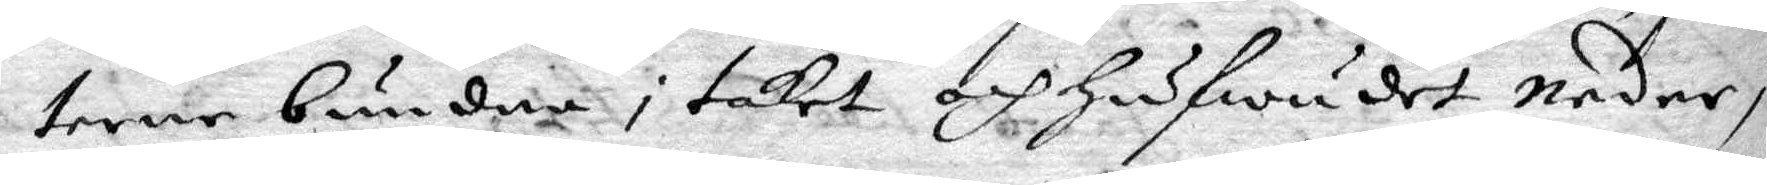terne bundne i taket och hufwudet neder,
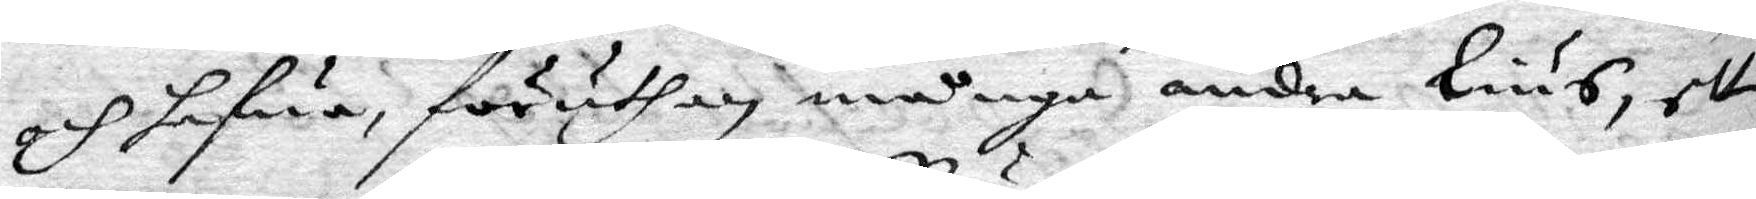och hafwa, föruthan många andra lius, ett
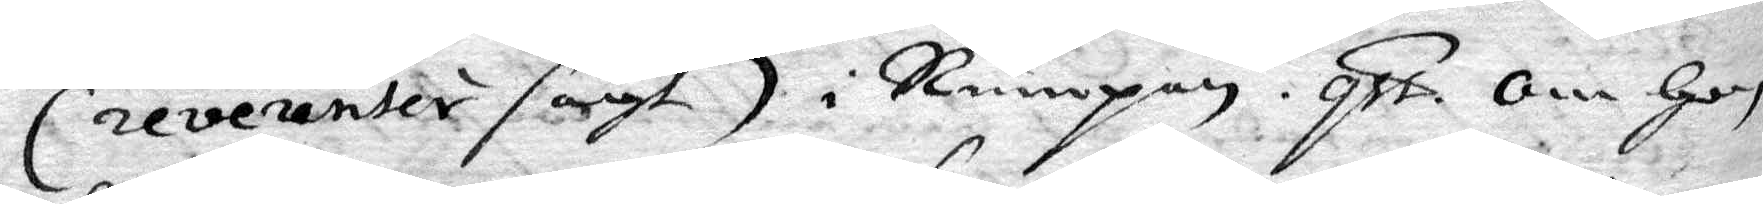(reverenter sagt) i Rumpan. qst om hon
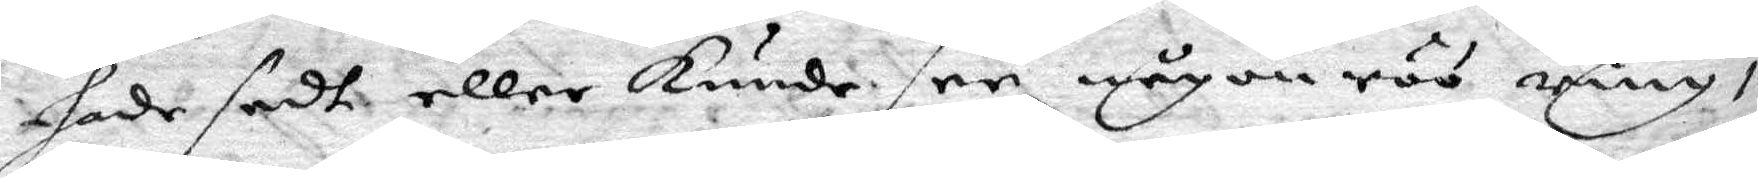hade sedt eller kunde see någon röd ring i
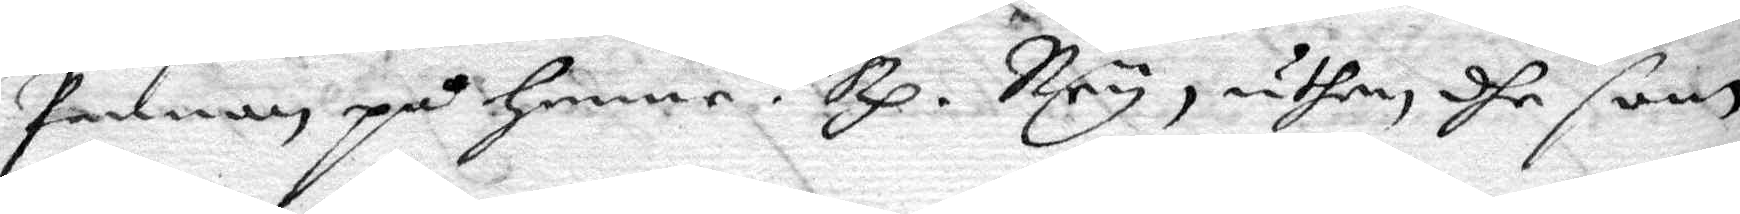pannan på henne? Rp. Ney, uthan dhe som
